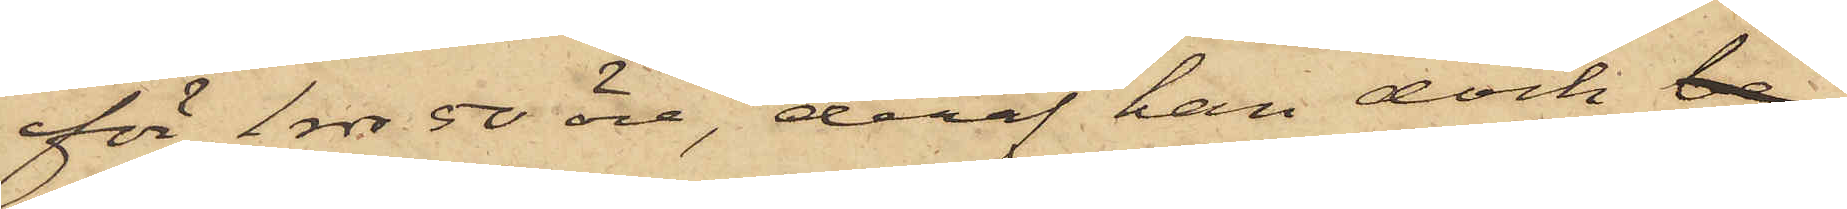för 1 rdr 50 öre, deraf han dock be
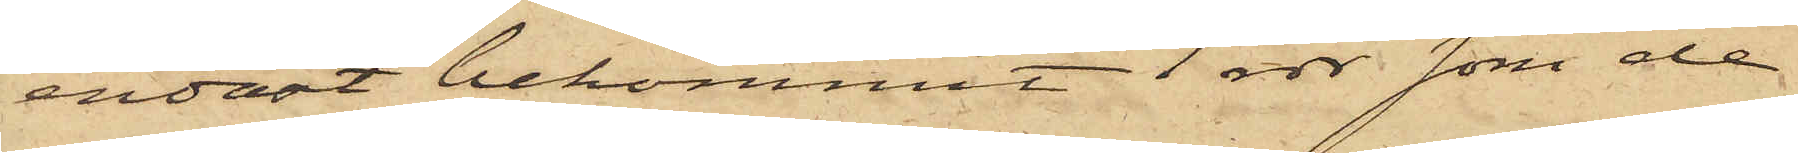endast bekommit 1 rdr som de
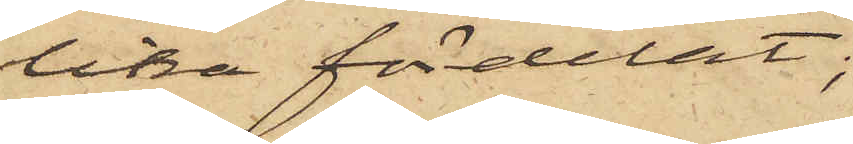lika fördelat;
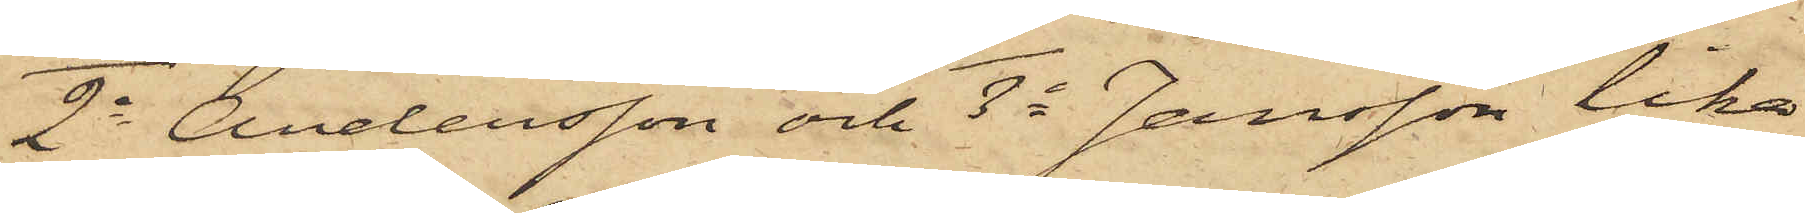2o Andersson och 3o Jansson lika
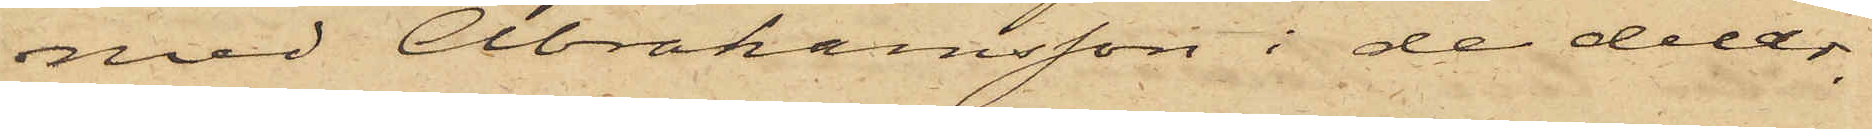med Abrahamsson i de delar,
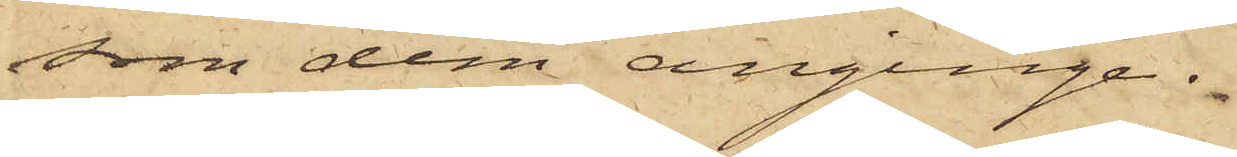som dem anginge.
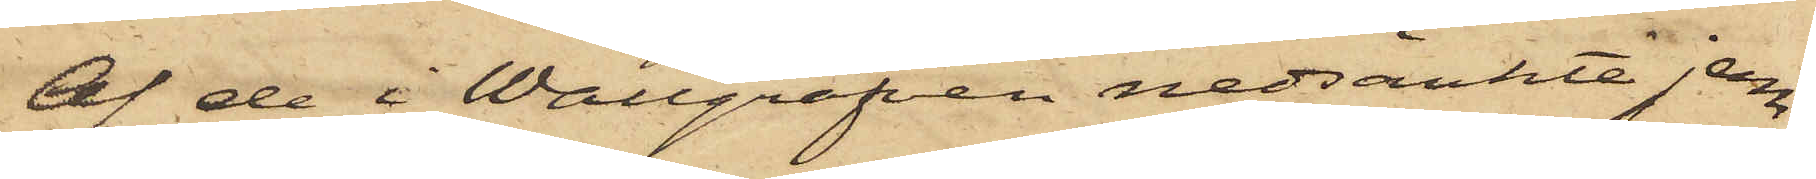Af de i Wallgrafven nedsänkte jern¬
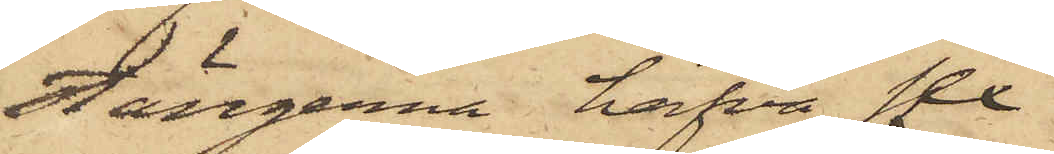stängerna hafva sex
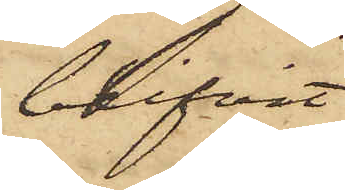blifvit
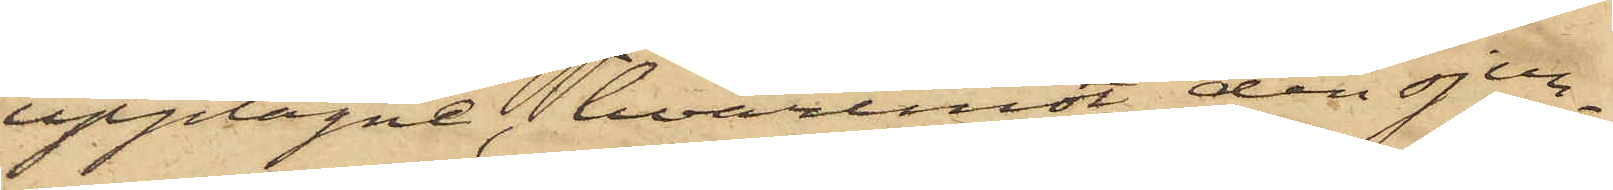upptagne, hvaremot den sjun¬
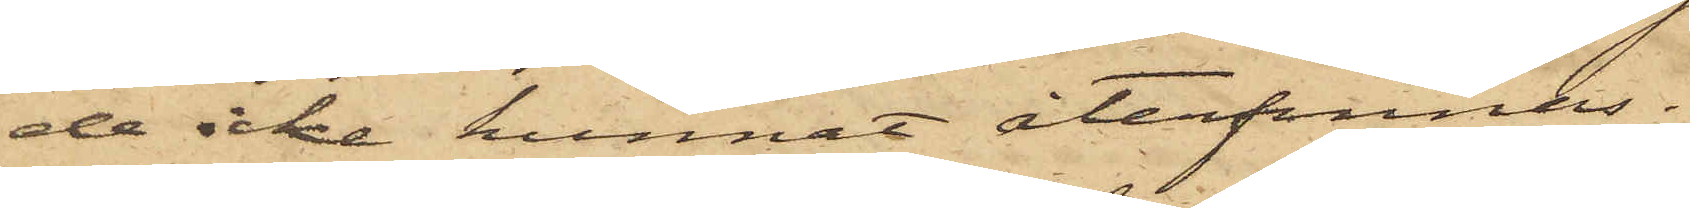de icke kunnat återfinnas.
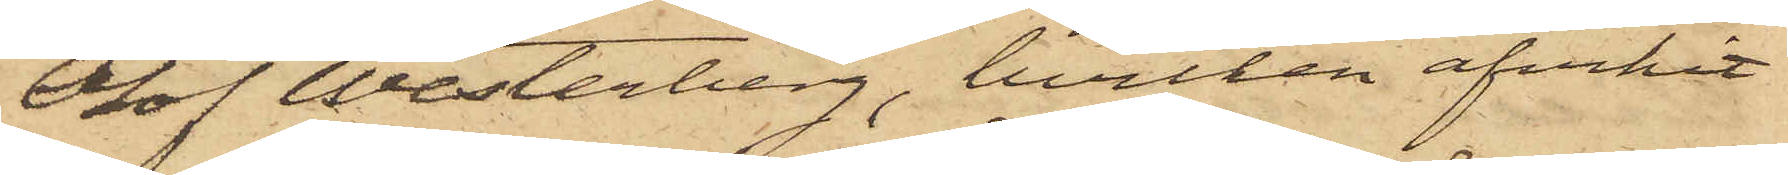Olof Westerberg, hvilken afvikit
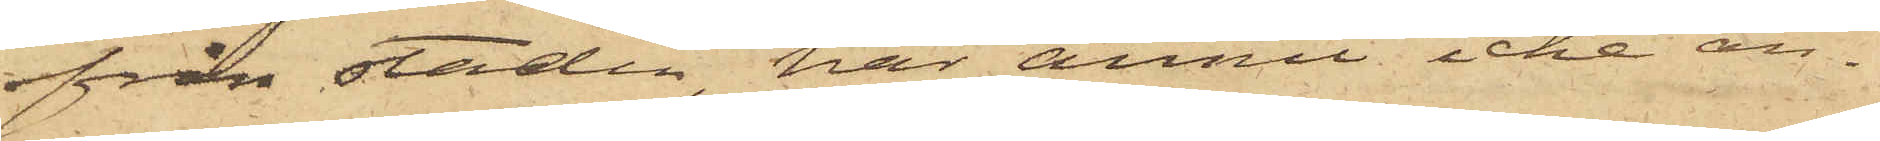från staden, har ännu icke an¬
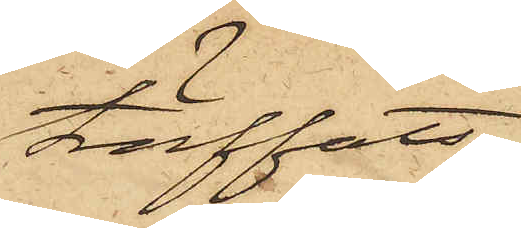träffats.
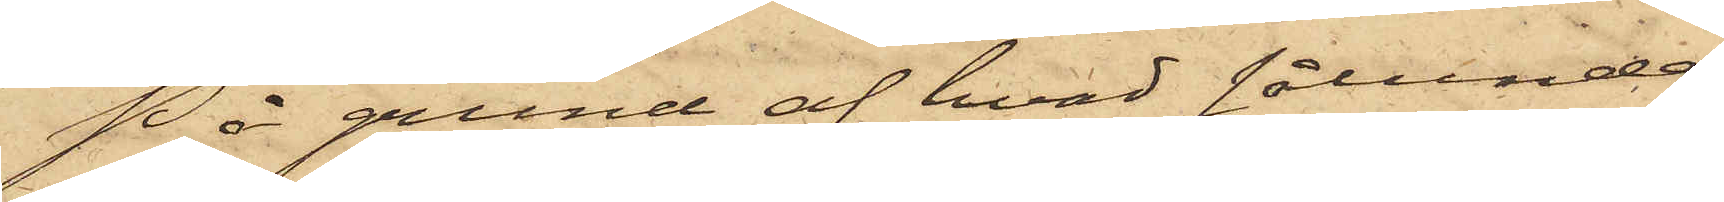På grund af hvad sålunda
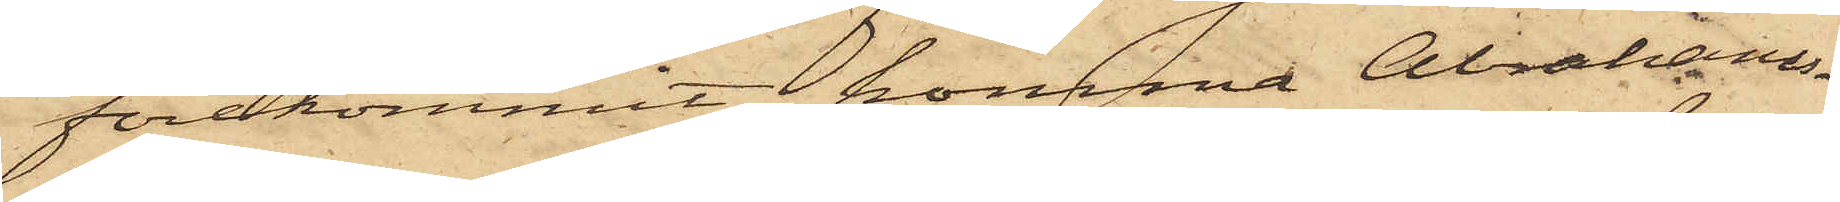förekommit, komma Abrahams¬
